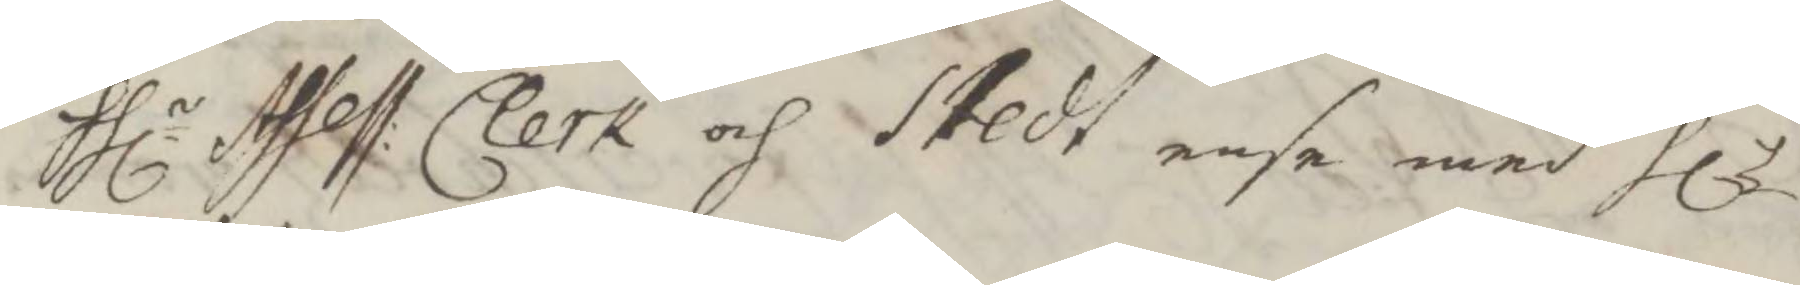Hlr Assess: Clerk och Stedt ense med Hlr
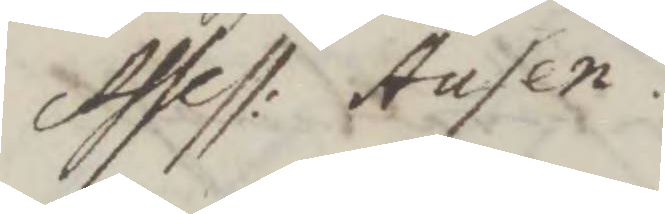Assess: Ausen.
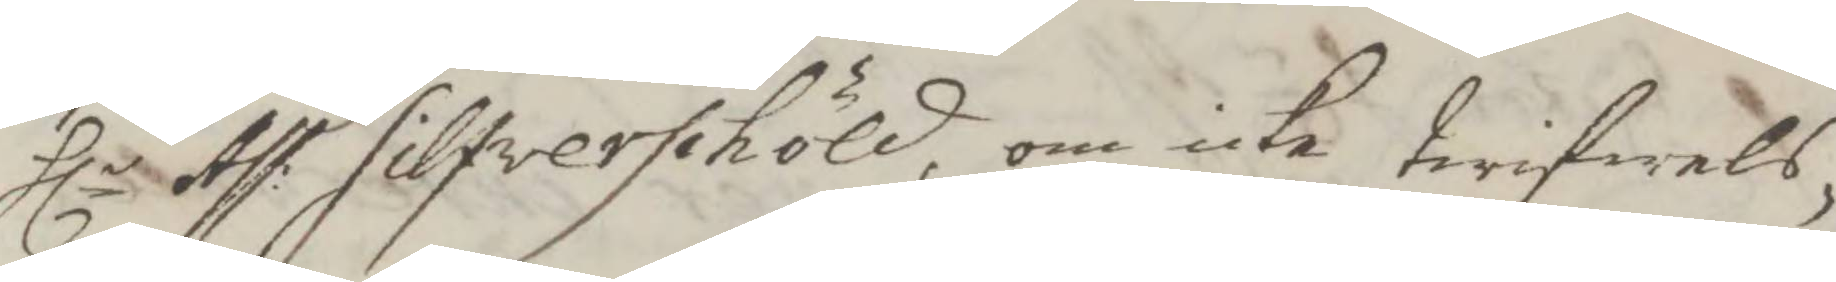Hlr Ass: Silfwerschöld, om icke twifwels¬
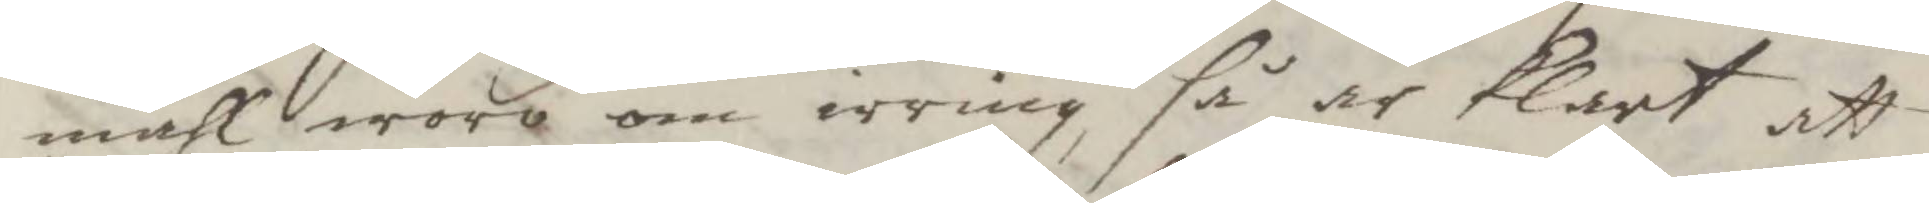måhl woro om irring så är klart att
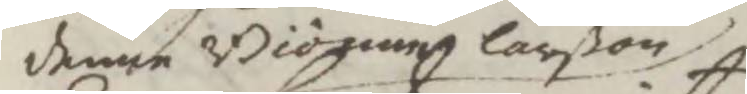denne Biörnen Larßon
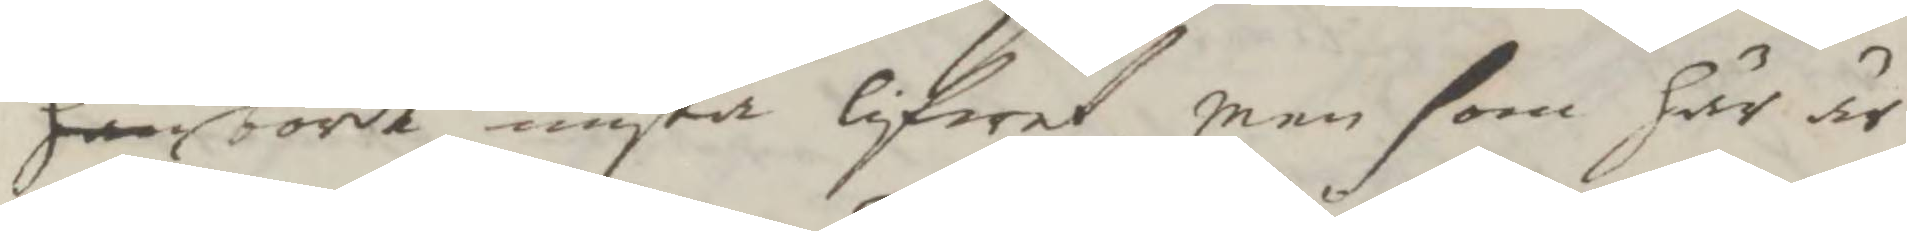han borde mista lifwet, men som här är
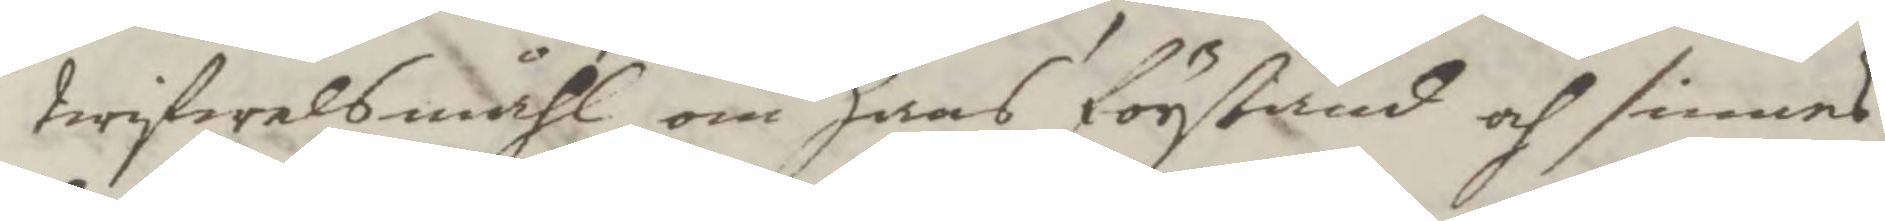Twifwelsmåhl om hans förstånd och sinnes
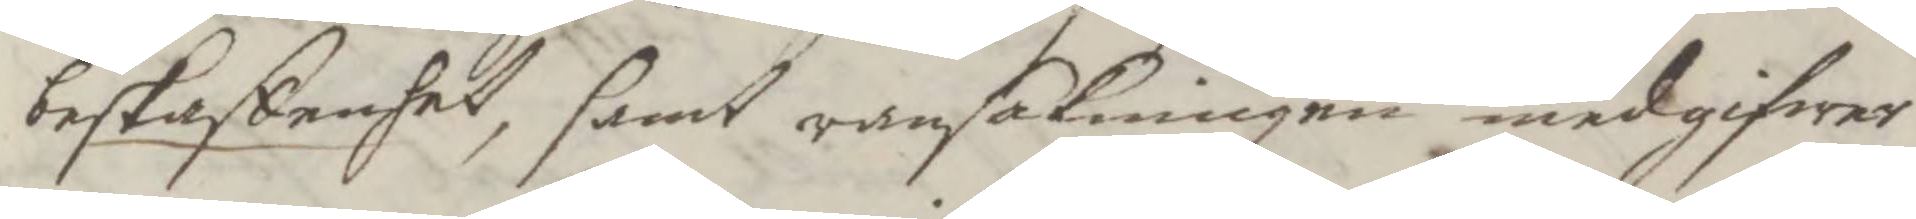beskaffenhet, samt ransakningen medgifwer
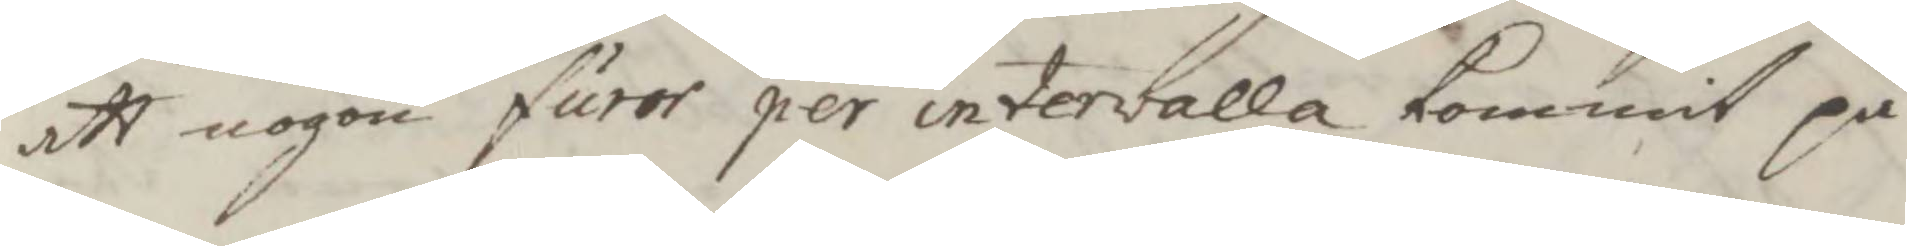att nogon furor per intervalla kommit på
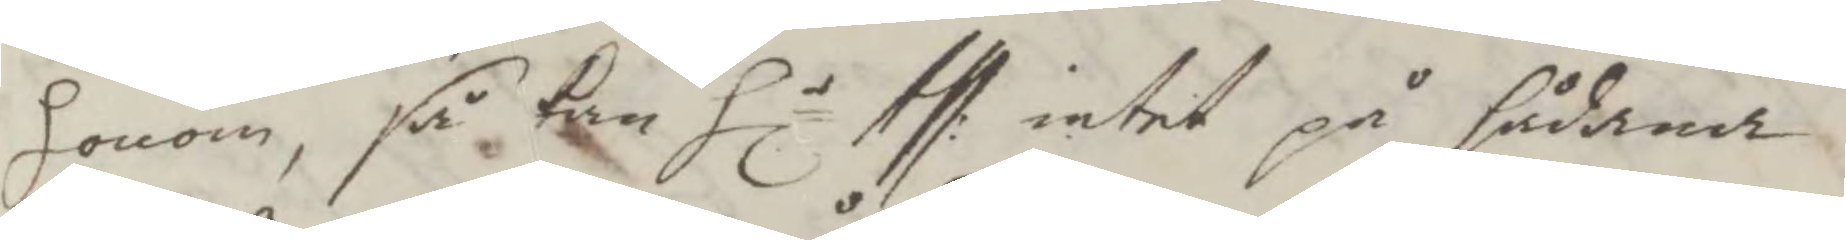honom, så kan Hlr Ass: intet på sådana
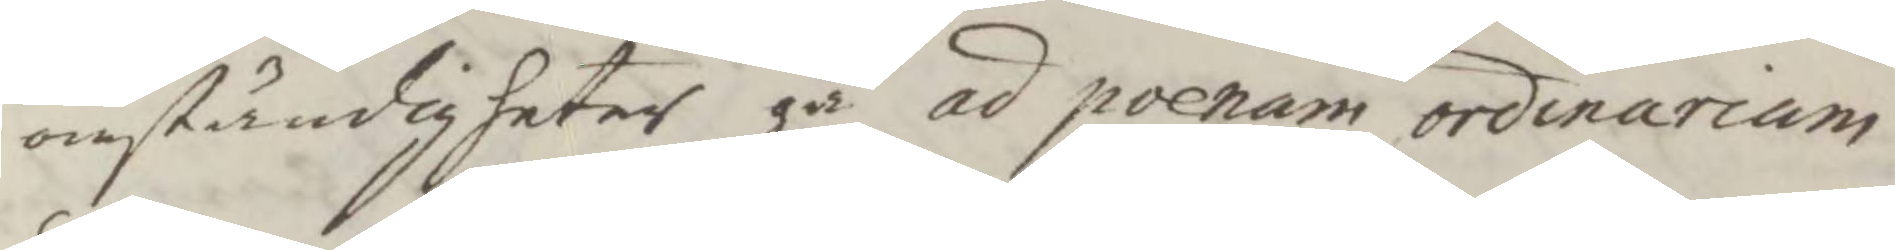omständigheter gå ad poenum ordinarium
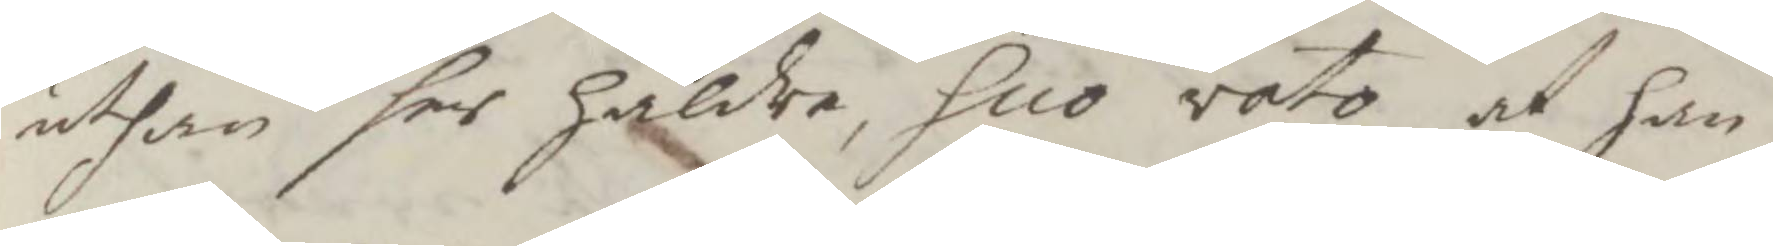uthan ser häldre, suo vato, at han
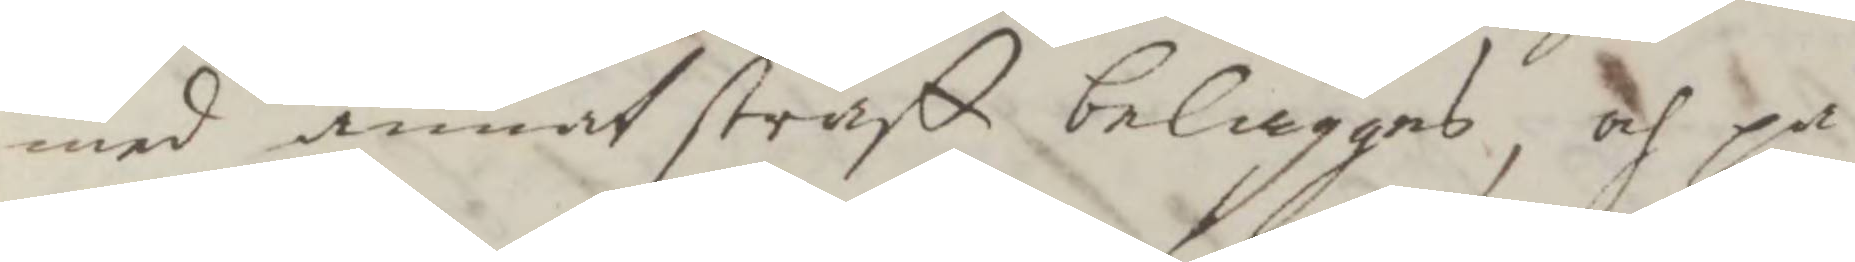med annat straff beläggas, och på
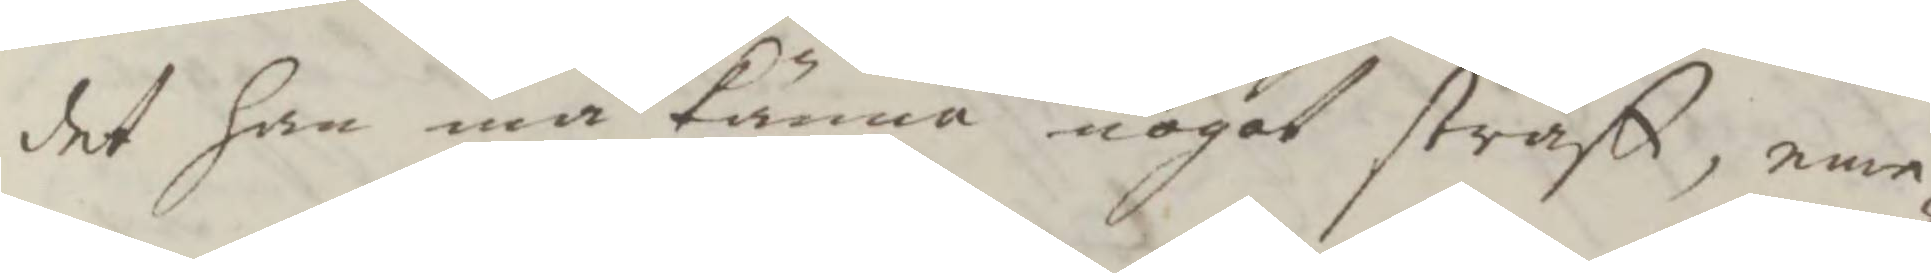det han må kunna nogot straff, eme¬
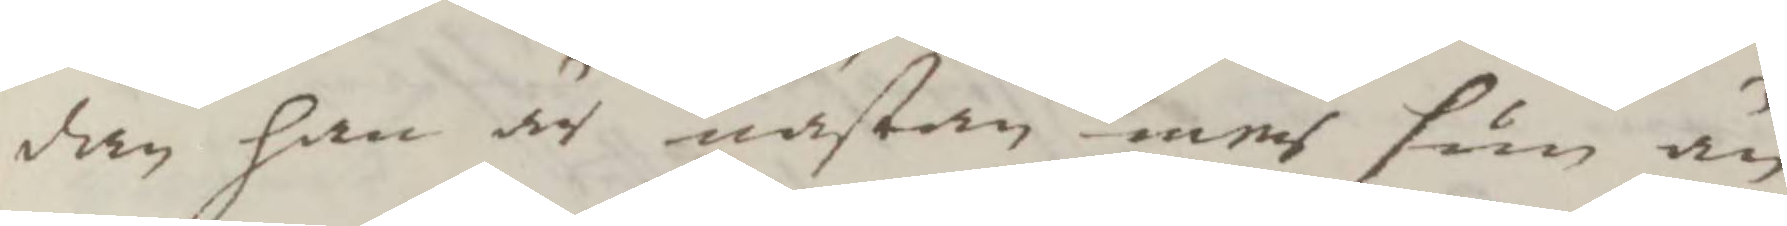dan han är nästan mer sum än
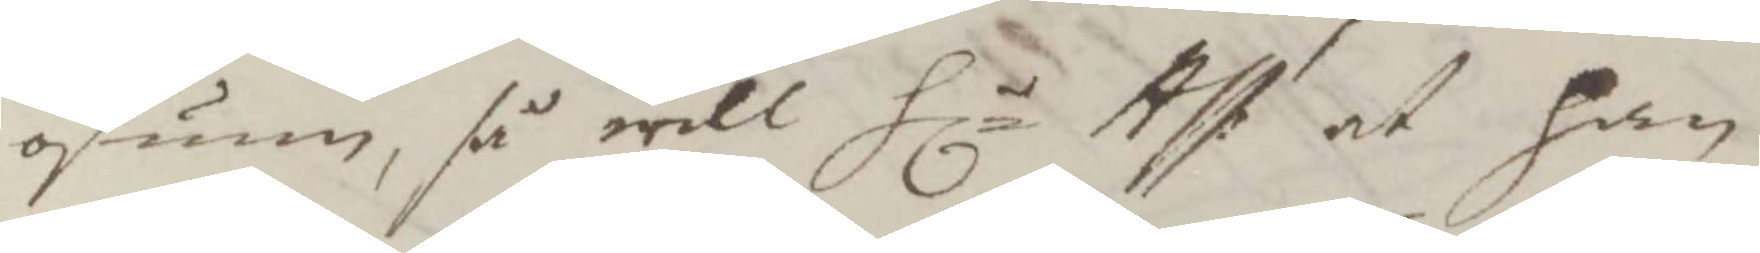osum, så will Hlr Ass: at han
